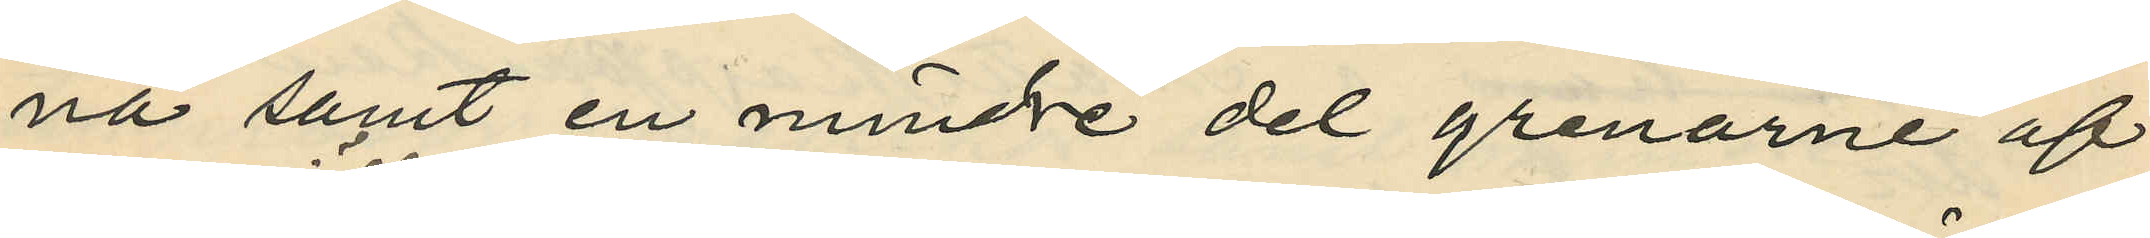na samt en mindre del grenarne af
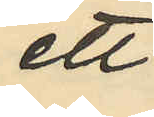ett
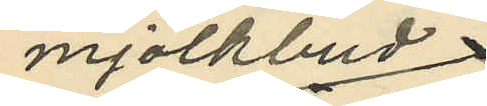mjölkbud
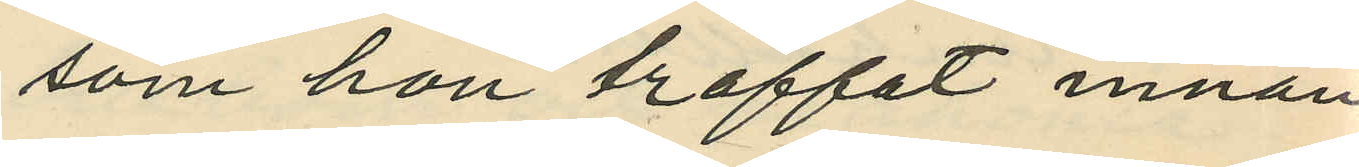som hon träffat innan
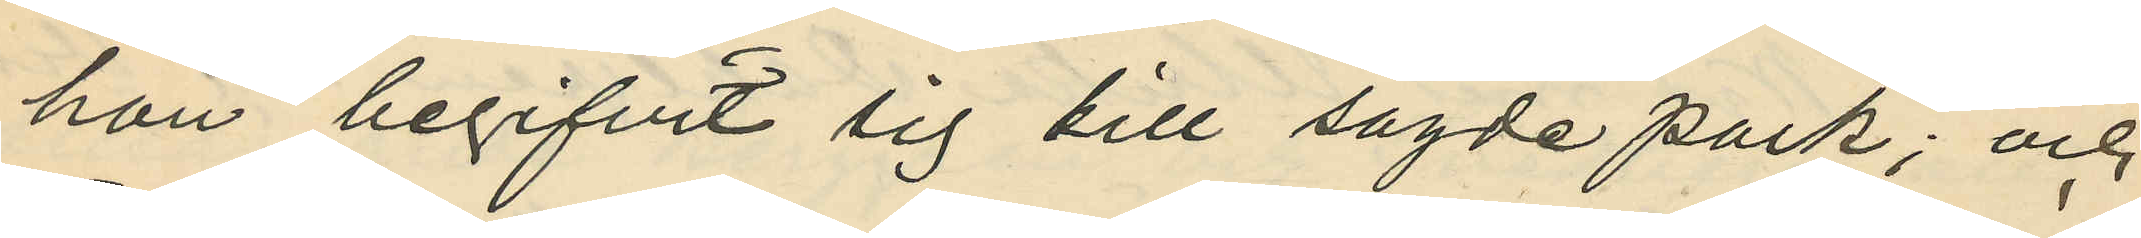hon begifvit sig till sagde park; och
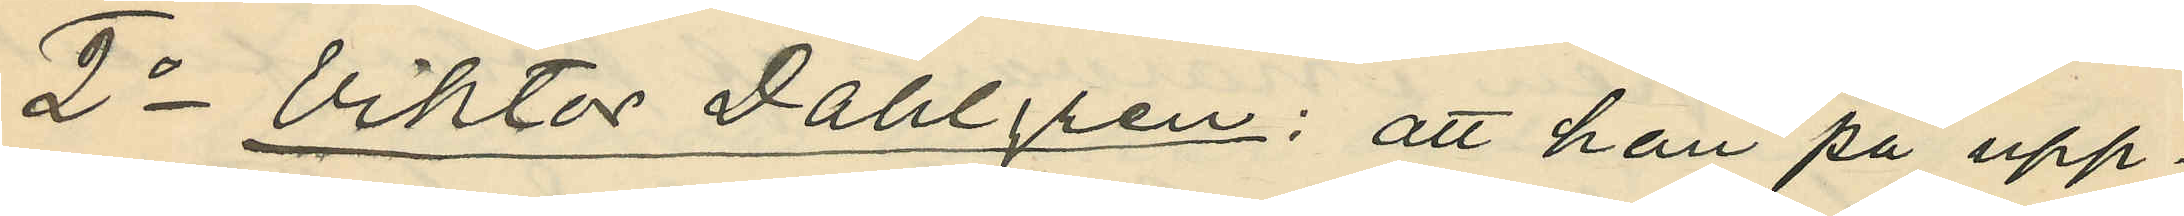2o Viktor Dahlgren: att han på upp¬
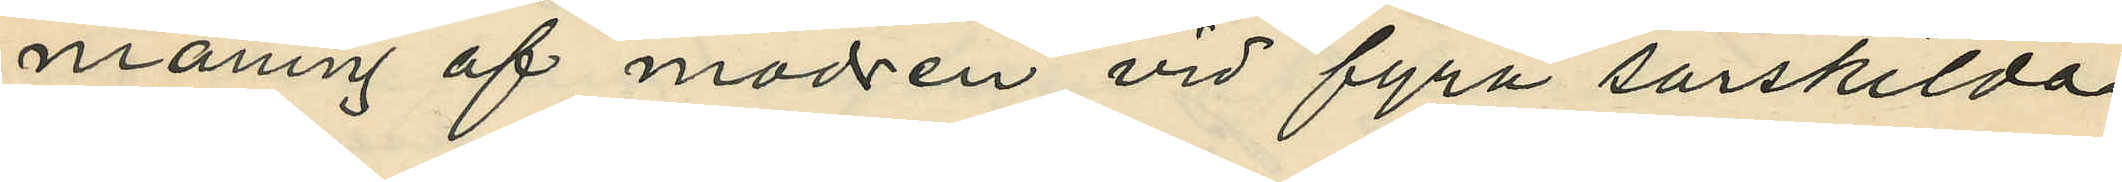maning af modren vid fyra särskilda
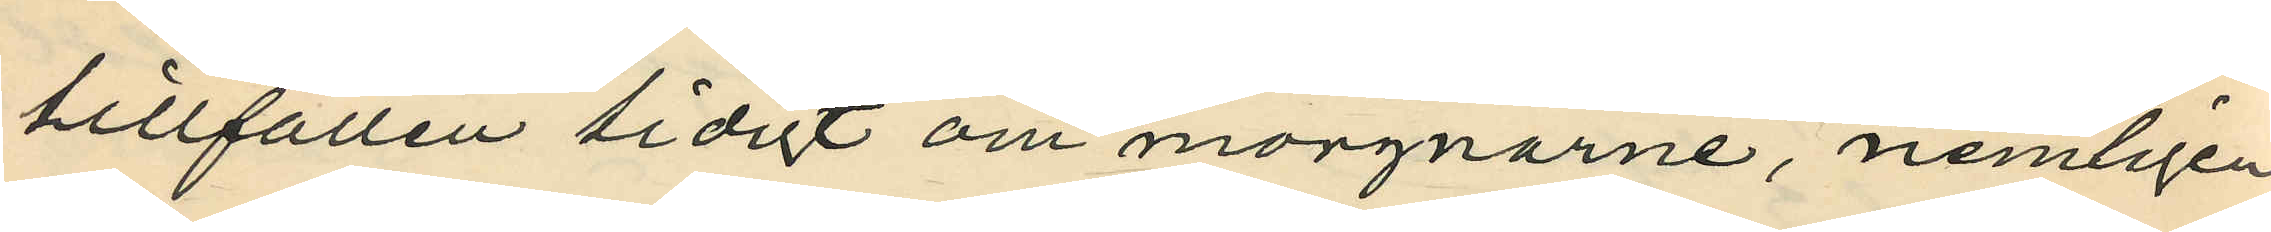tillfällen tidigt om morgnarne, nemligen
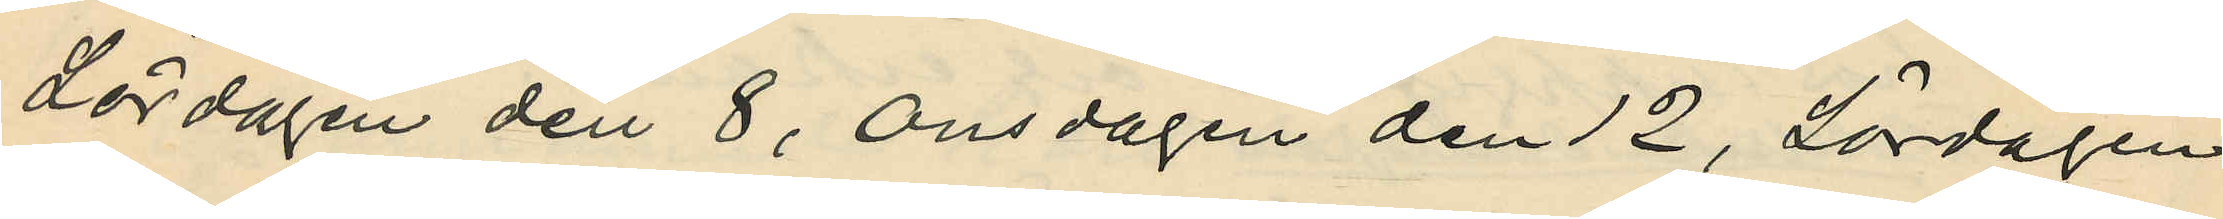Lördagen den 8, Onsdagen den 12, Lördagen
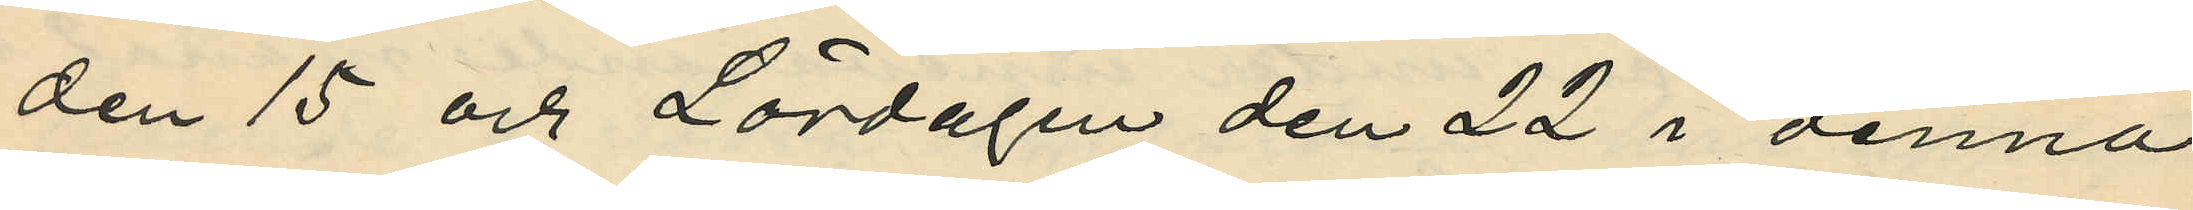den 15 och Lördagen den 22 i denna
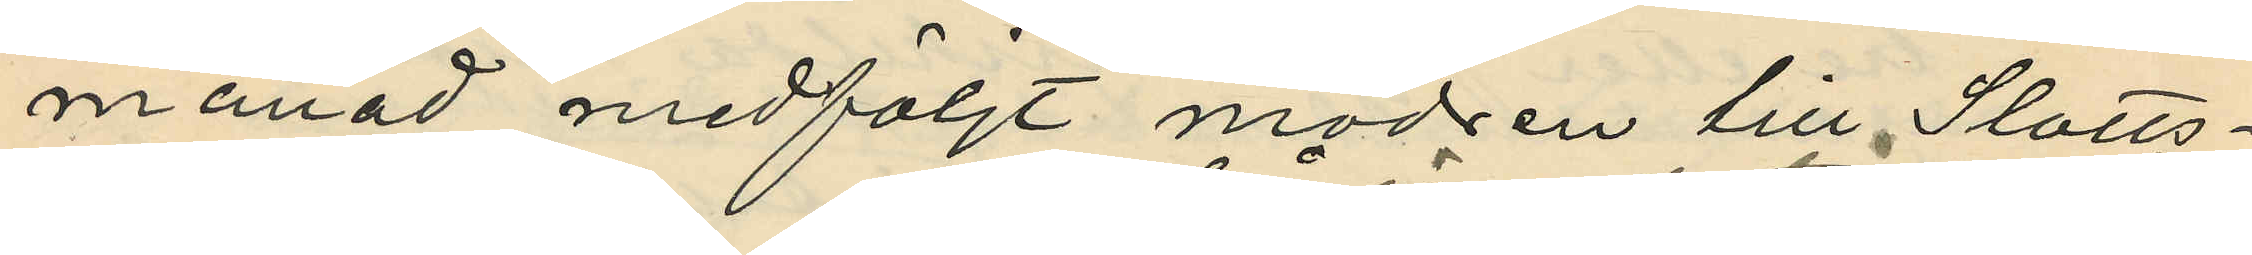månad medföljt modren till Slotts¬
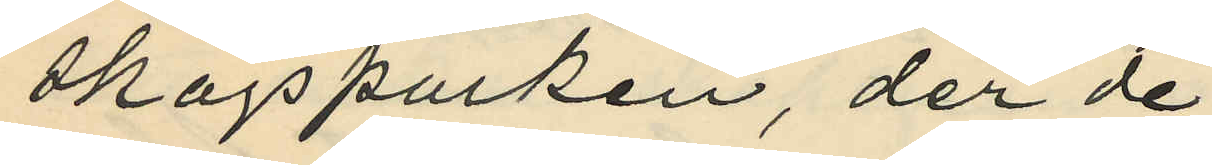skogsparken, der de
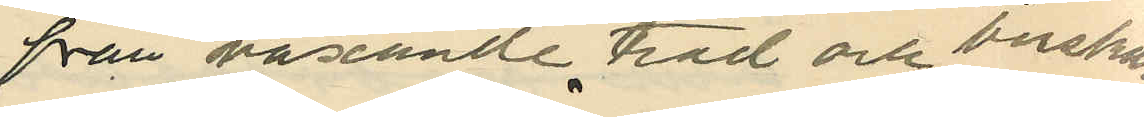från växande träd och buskar
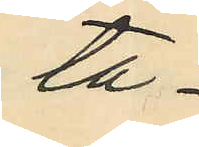ta¬
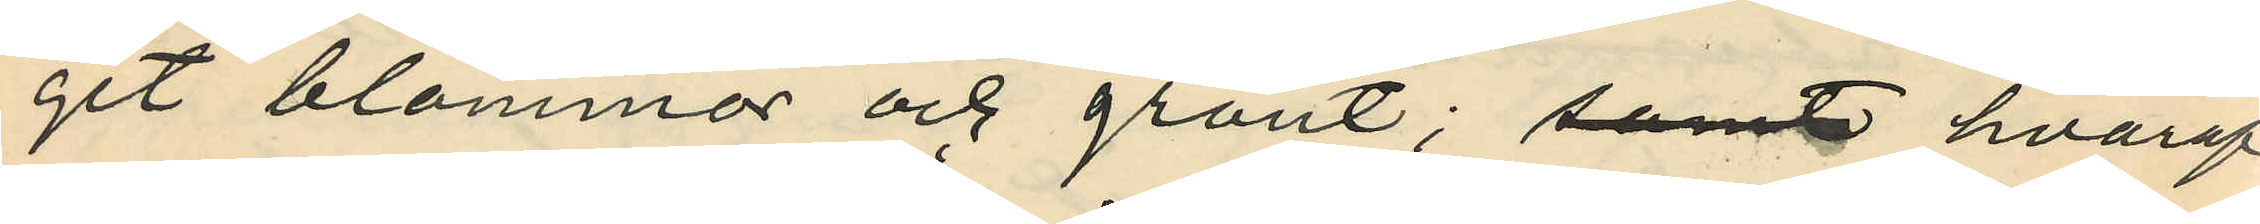git blommor och grönt; samt hvaraf
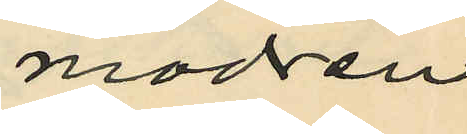modren
